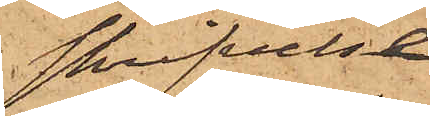skrifvelse
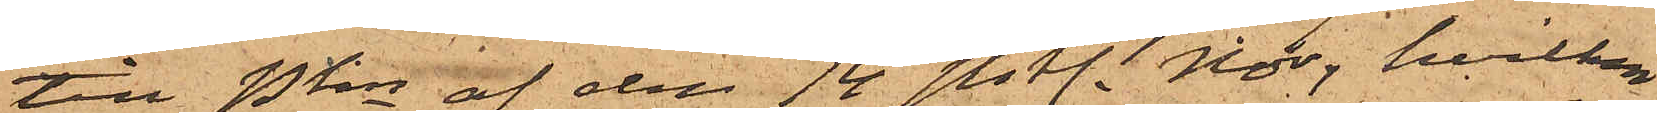till Pkn af den 14 sistl. Nov, hvilken
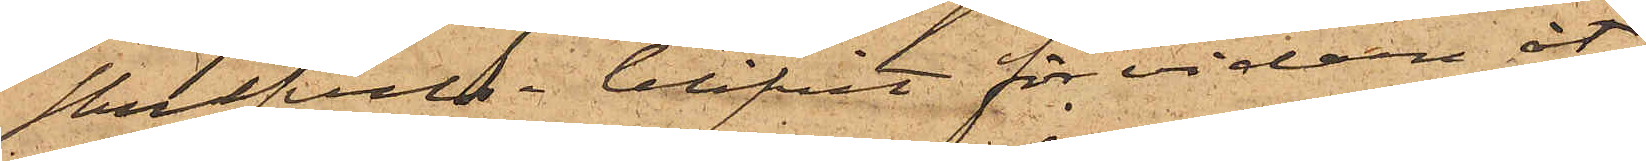skrifvelse blifvit för vidare åt¬
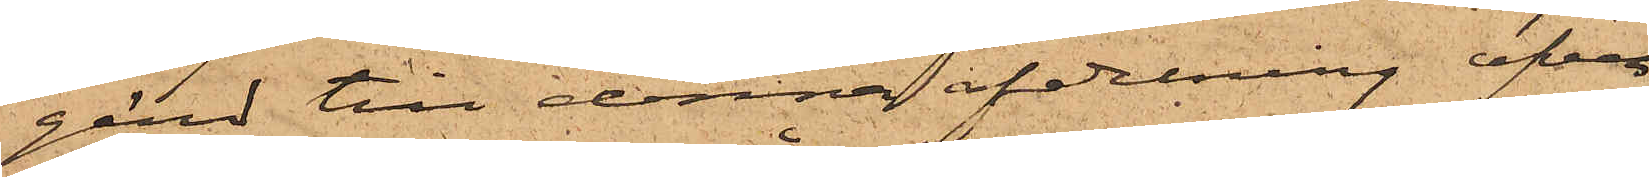gärd till denna afdelning öfver¬
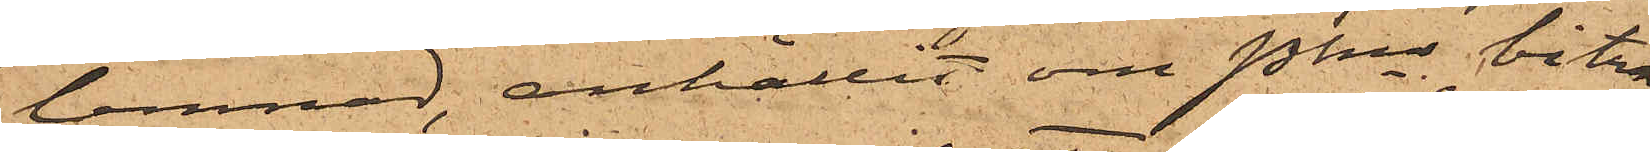lemnad, anhållit om Pkns biträ¬
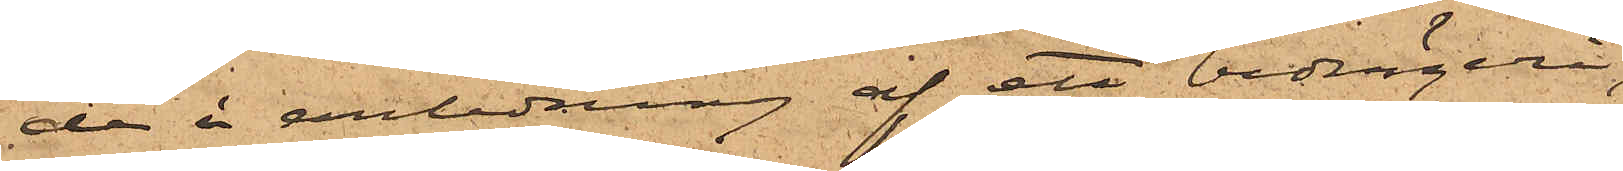de "i anledning af ett bedrägeri,
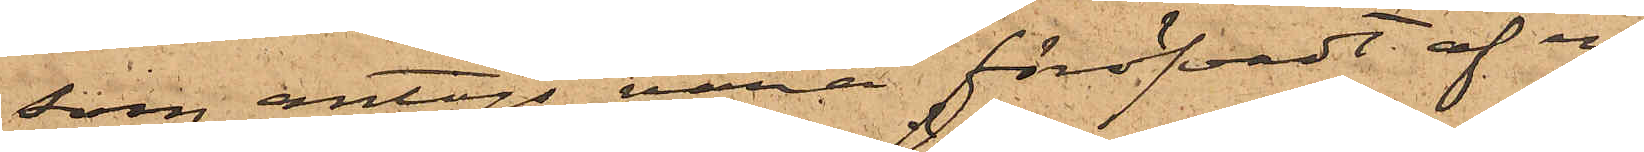som antogs vara föröfvadt af en
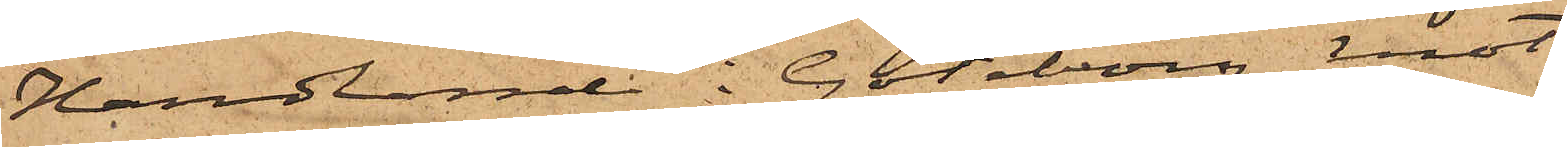Handlande i Göteborg mot
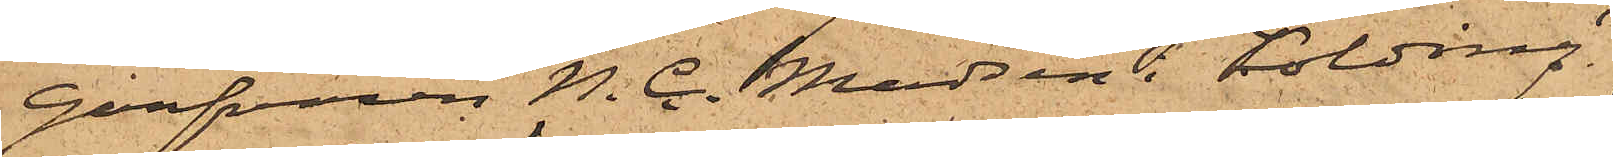Garfvaren N. C. Madsen i Kolding."
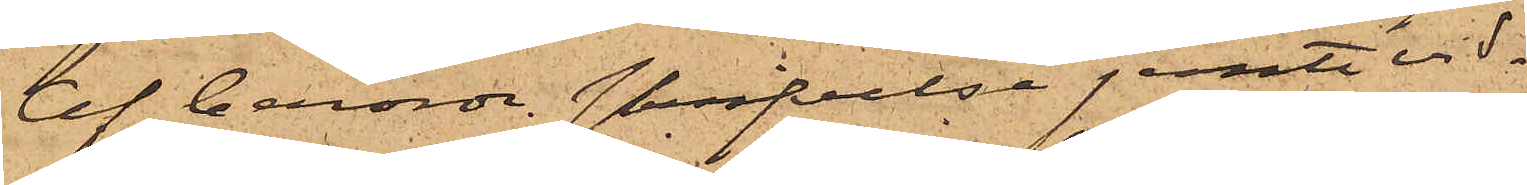Af berörde skrifvelse jemte vid¬
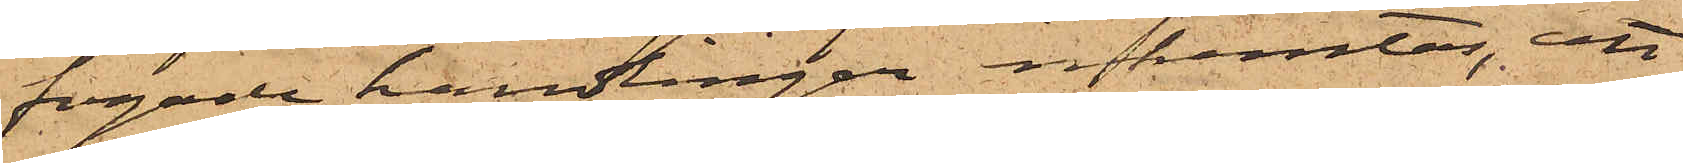fogade handlinger inhemtas, att
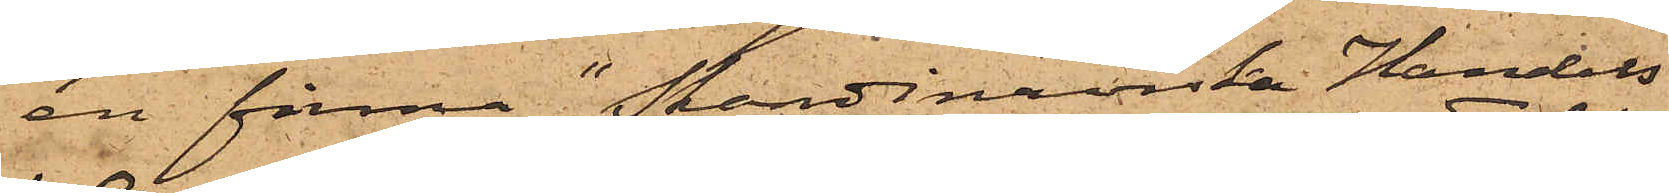en firma "Skandinaviska Handels
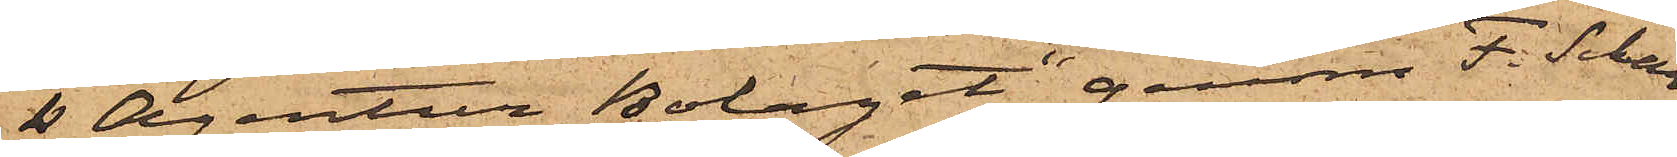& Agentur Bolaget" genom F. Schar¬
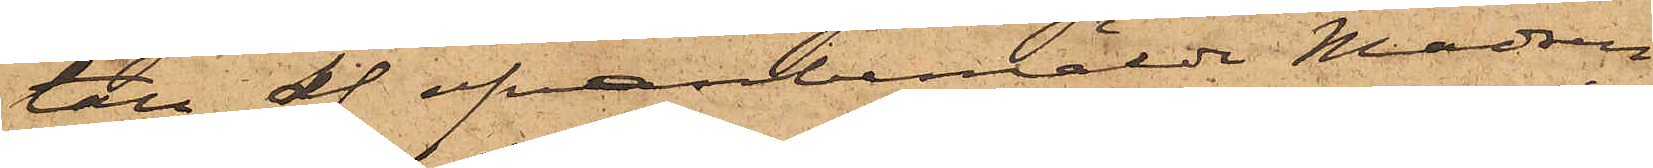tau af ofvanbemälde Madsen
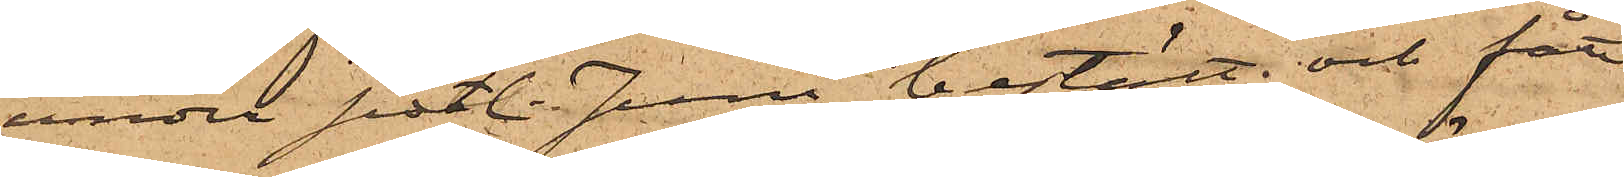under sistl. Juni bestält och fått
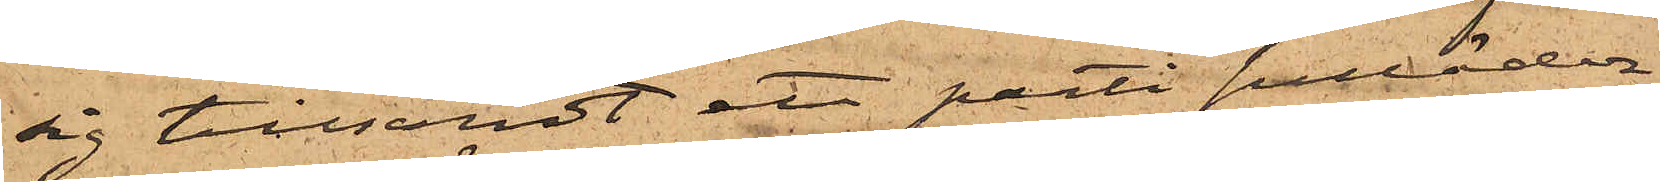sig tillsändt ett parti sulläder,
